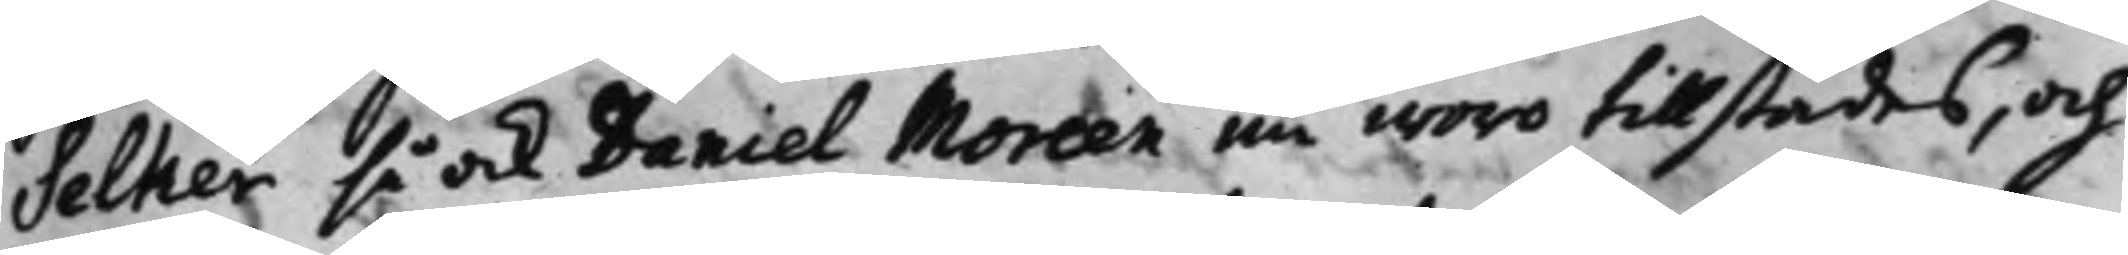Selker så ock Daniel Moreen nu woro tillstädes, och
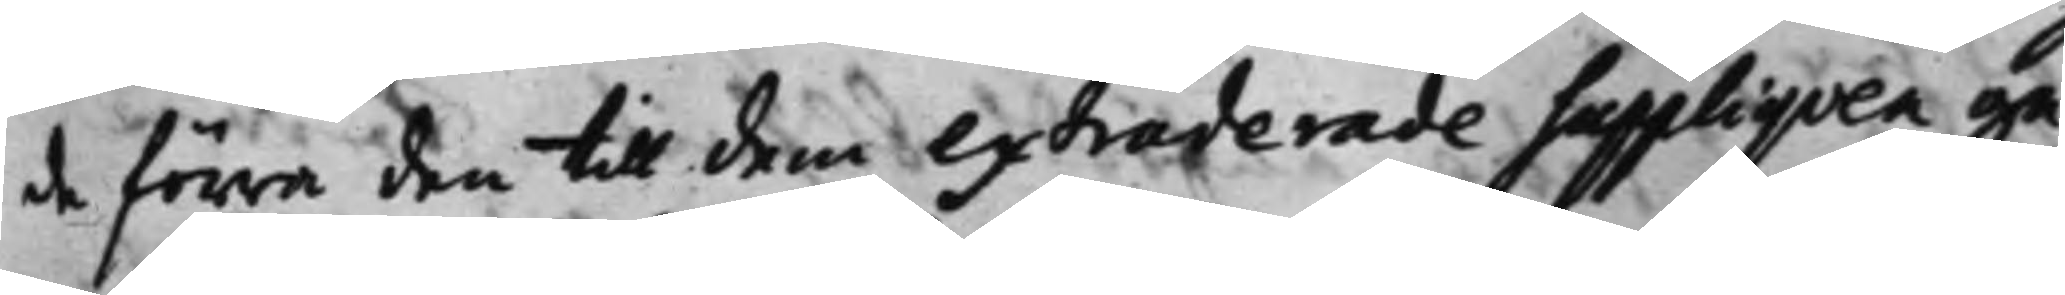de förra den till dem extraderade Suppliquen ge¬
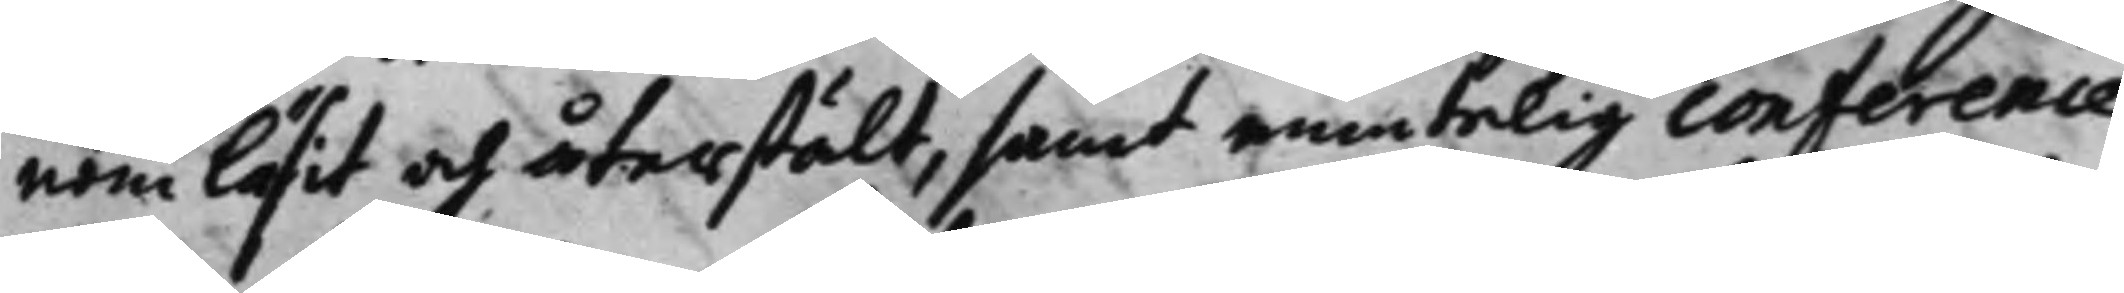nom läsit och återstält, samt muntelig conference
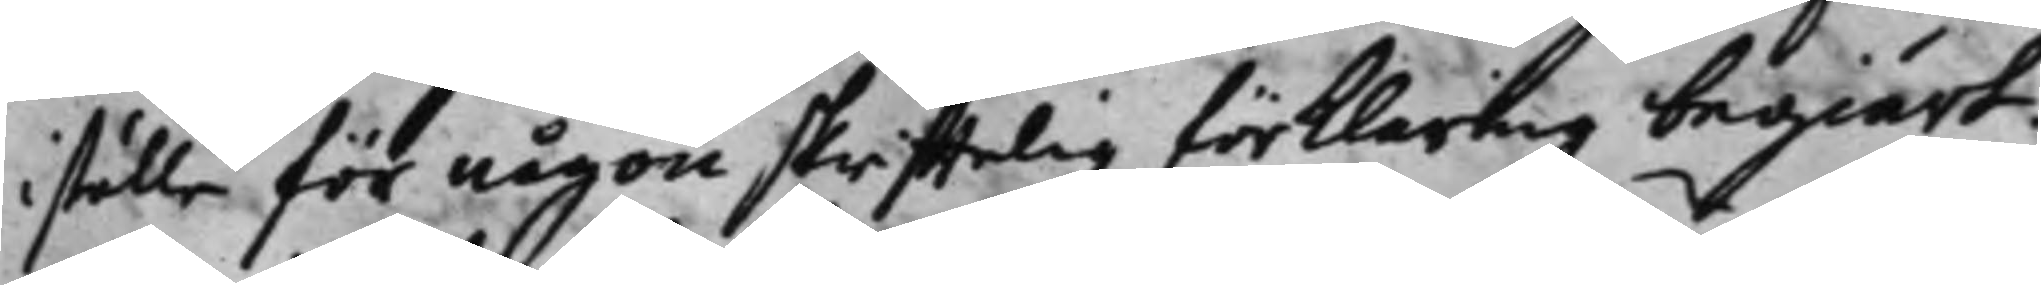iställe för någon skrifftelig förklaring begiärt:
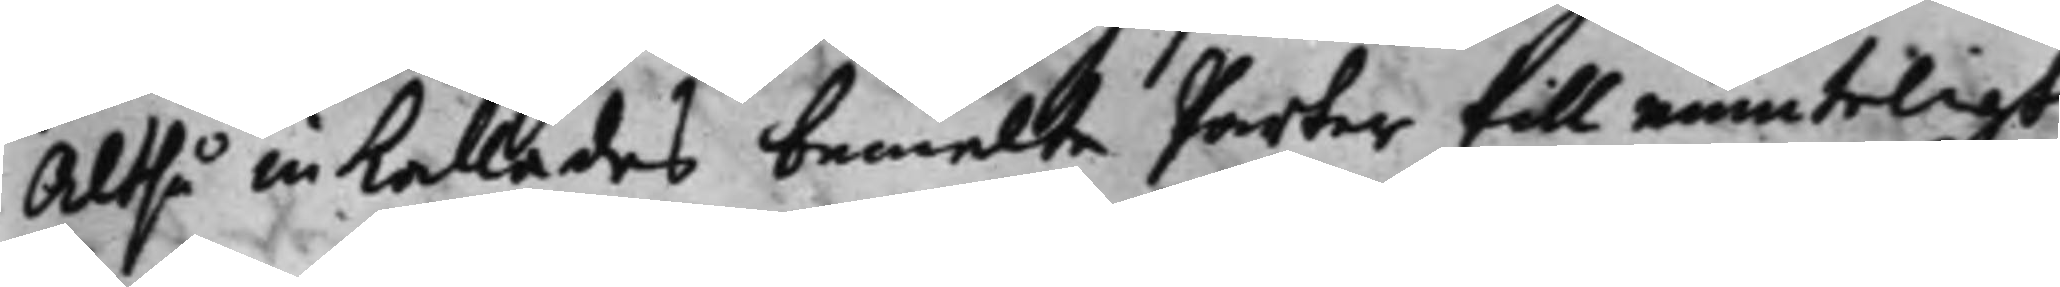Altså inkallades bemelte Parter till munteligt
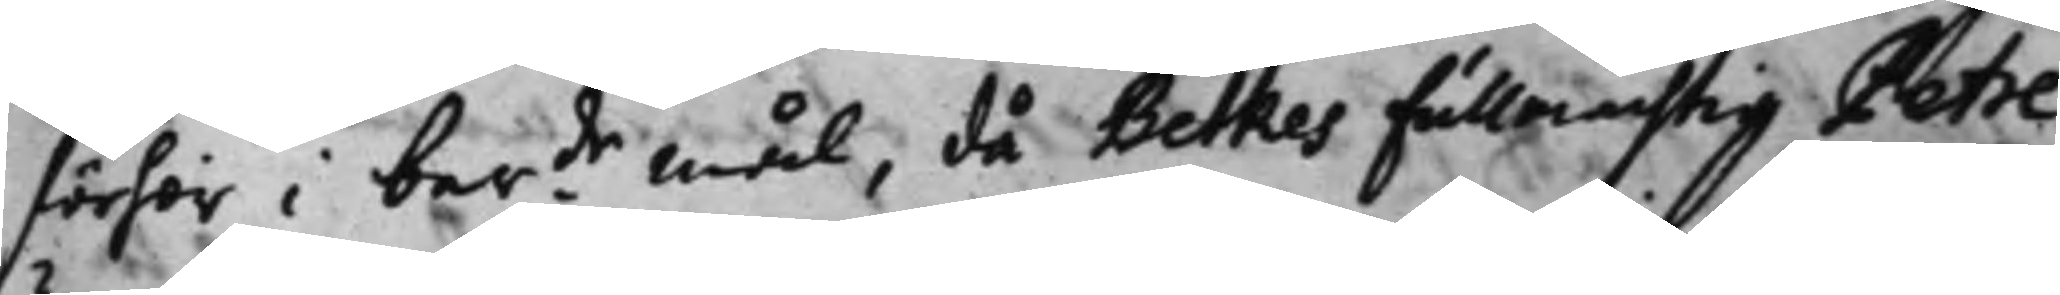förhör i berde mål, då Betkes fullmächtig Petre 
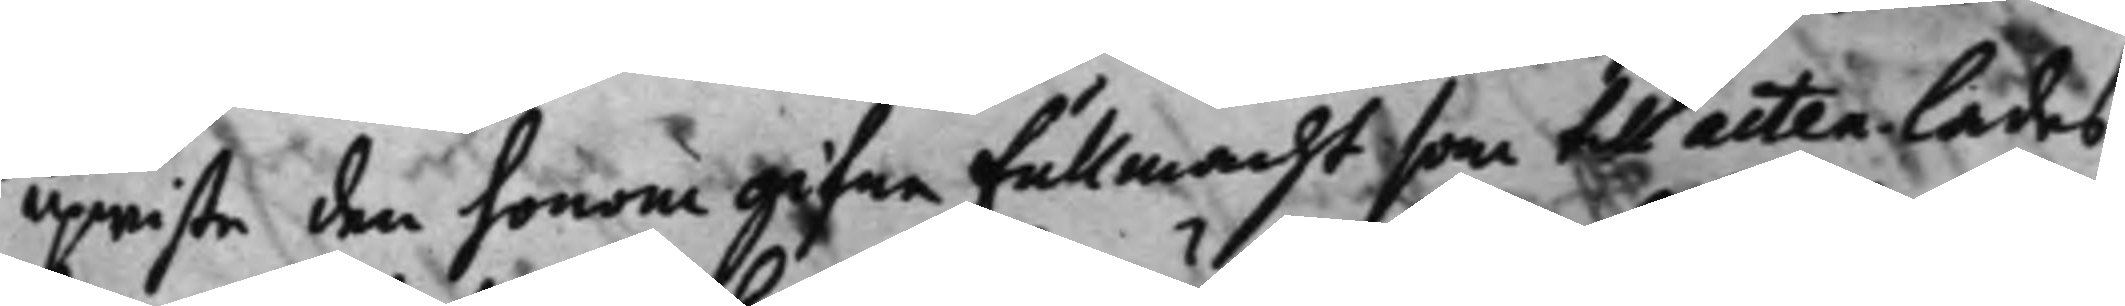upwiste den honom gifne Fullmacht som till acten lades,
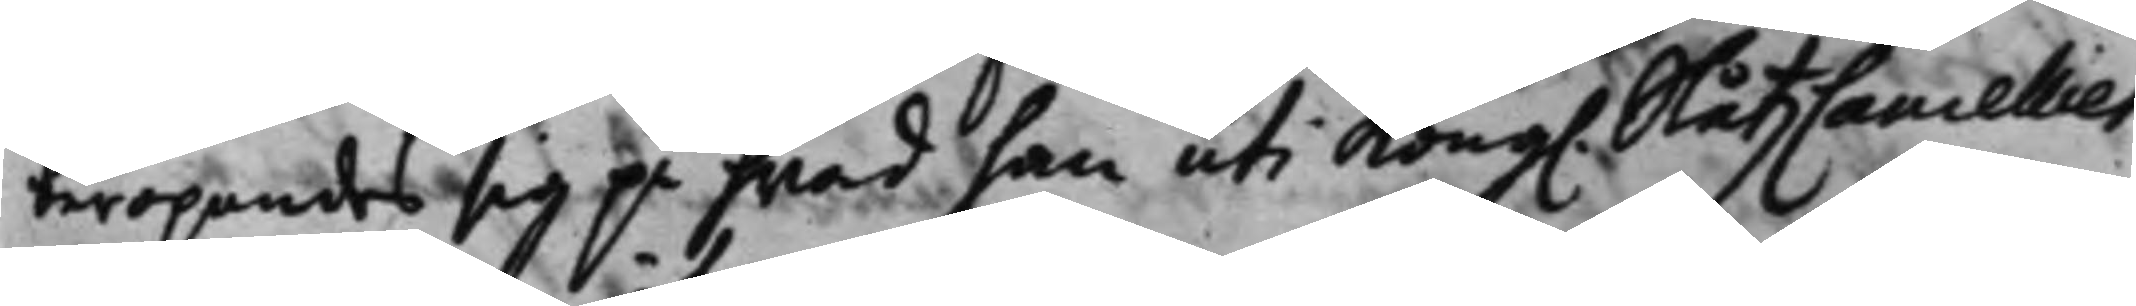beropandes sig på hwad han uti Kong. SlåtzCancelliet 
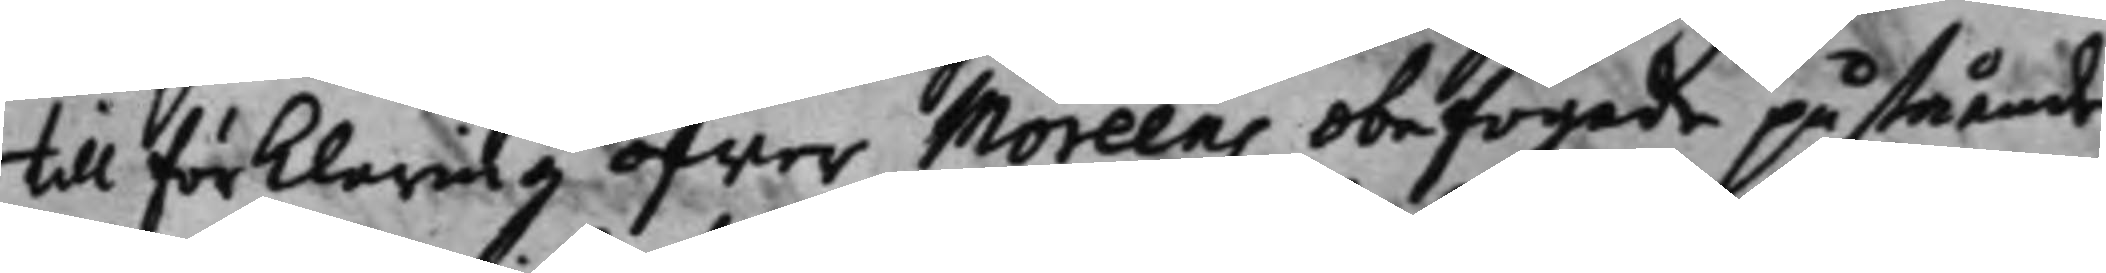til förklaring öfwer Moreens obefogade påstående
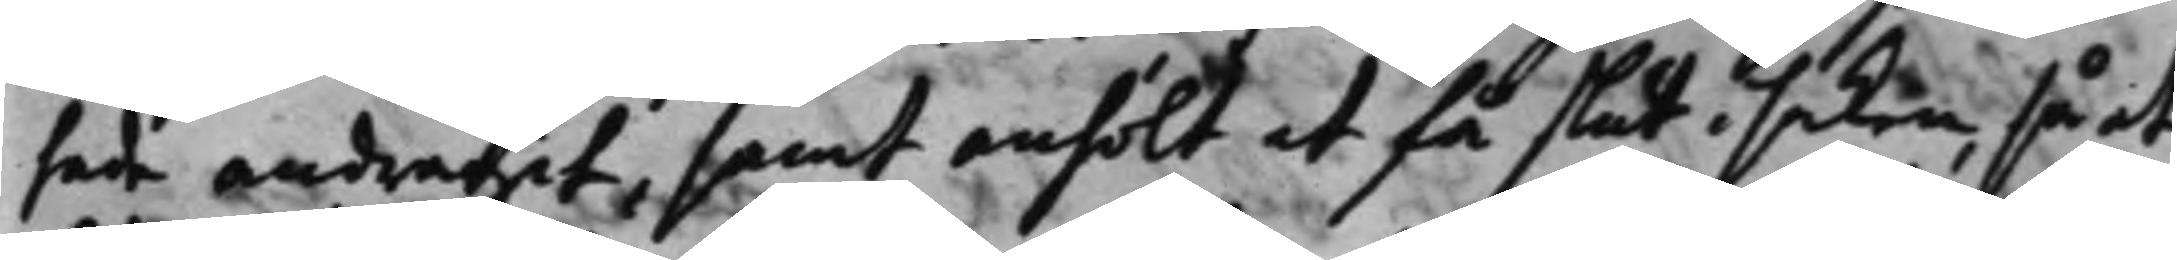hade andragit, samt anhölt at få slut i saken, så at
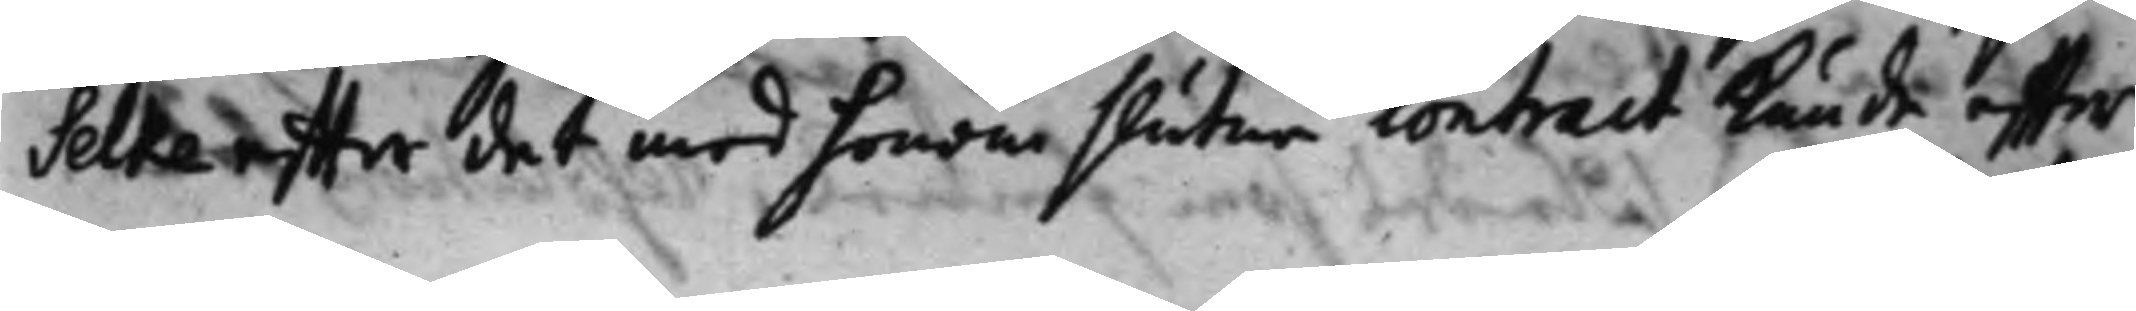Selke effter det med honom slutne contract kunde effter
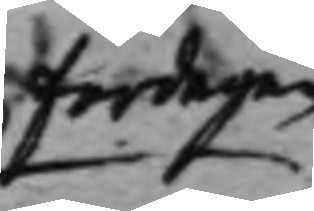fardagen
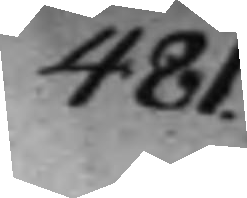481.
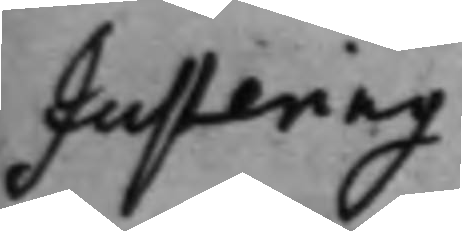Justering.
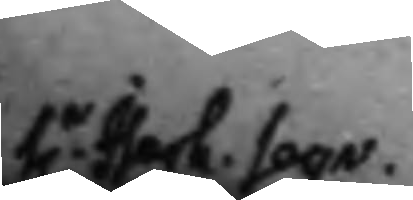hr lsach. Seqr.
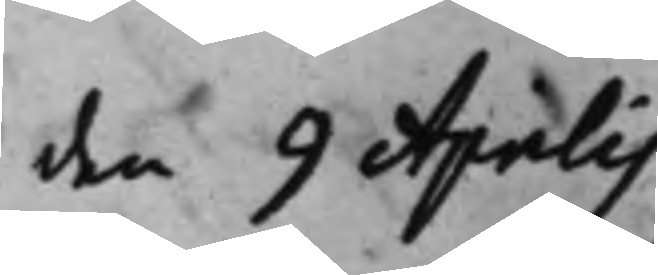den 9 Aprilis.
